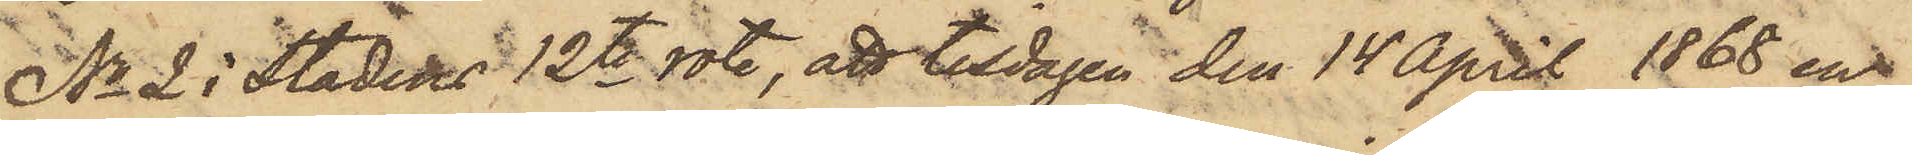No 2 i Stadens 12te rote, att tisdagen den 14 April 1868 en
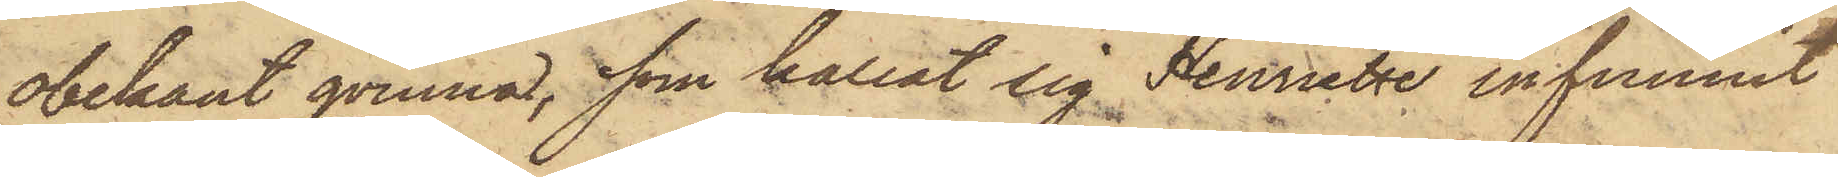obekant qvinna, som kallat sig Henriette infunnit
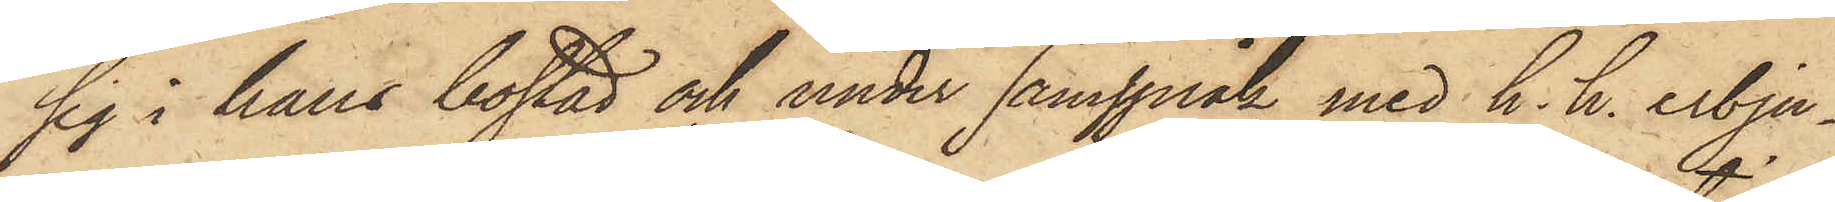sig i hans bostad och under samspråk med h. h. erbju¬
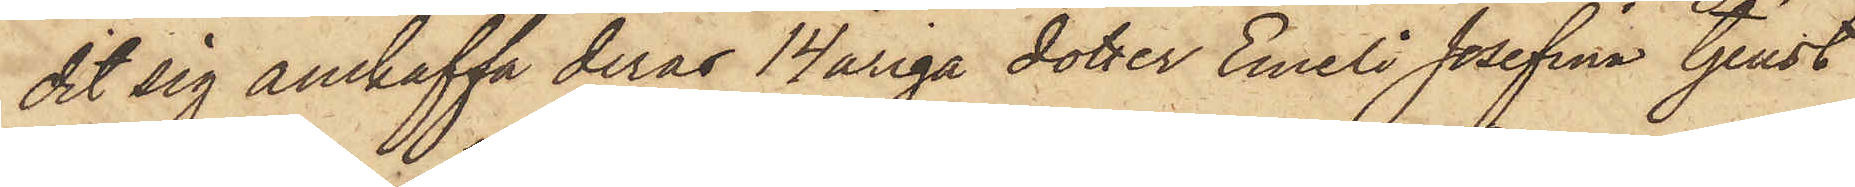dit sig anskaffa deras 14åriga dotter Emeli Josefina tjenst
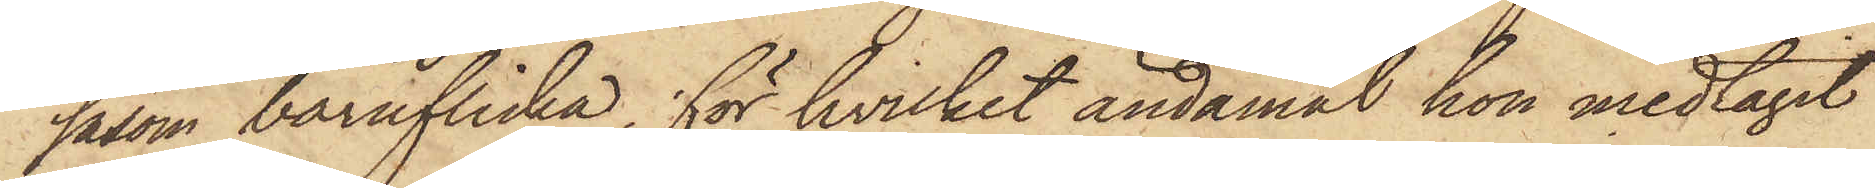såsom barnflicka, för hvilket ändamål hon medtagit
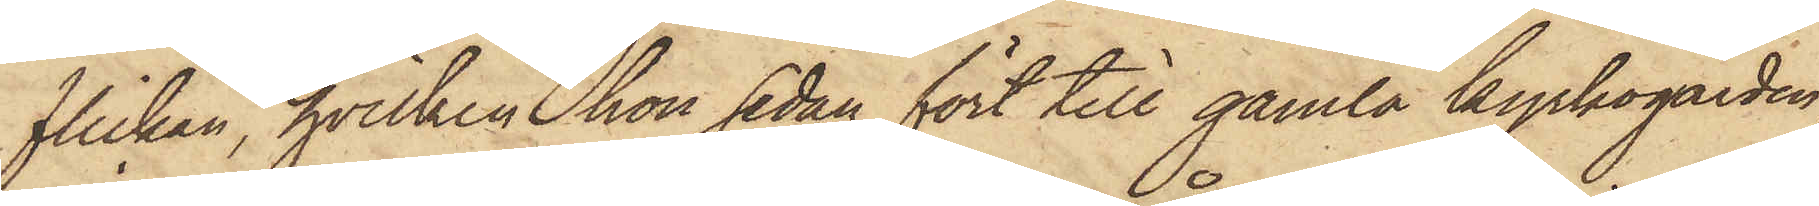flickan, hvilken hon sedan fört till gamla kyrkogården,
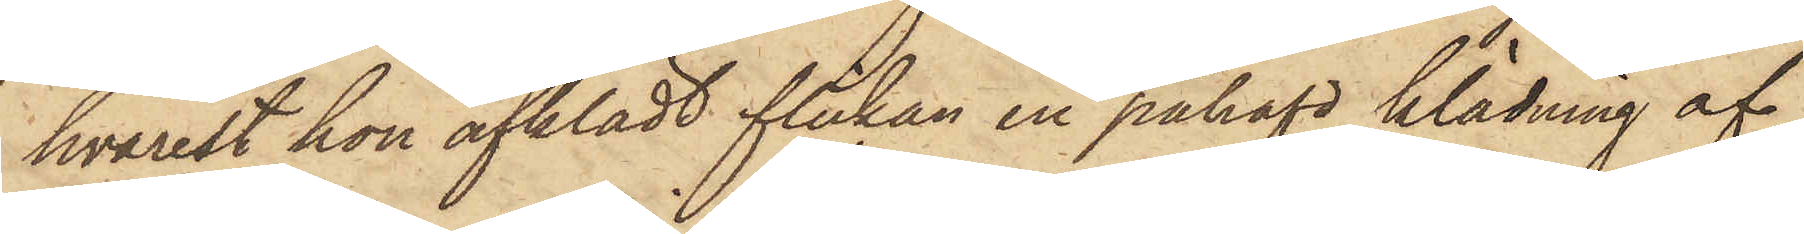hvarest hon afklädt flikan en påhafd klädning af
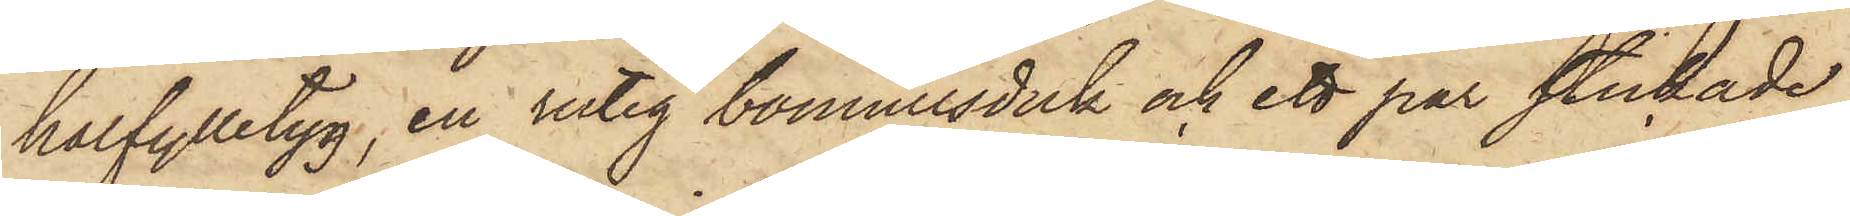halfylletyg, en rutig bomullsduk och ett par stickade
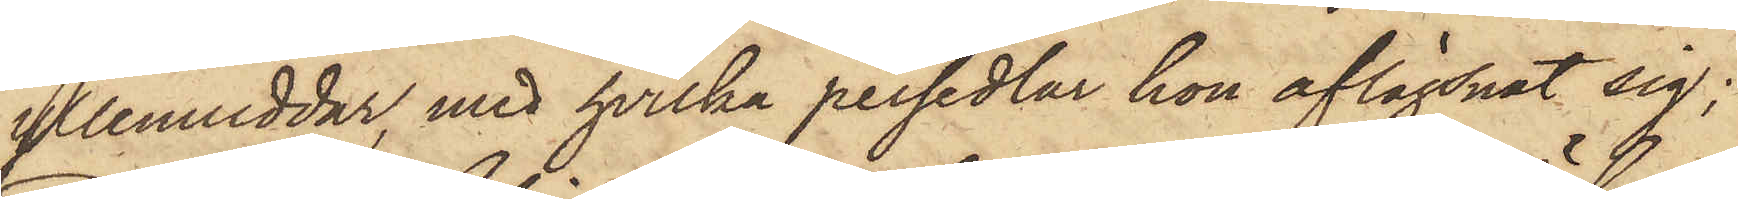yllemuddar, med hvilka persedlar hon aflägsnat sig;
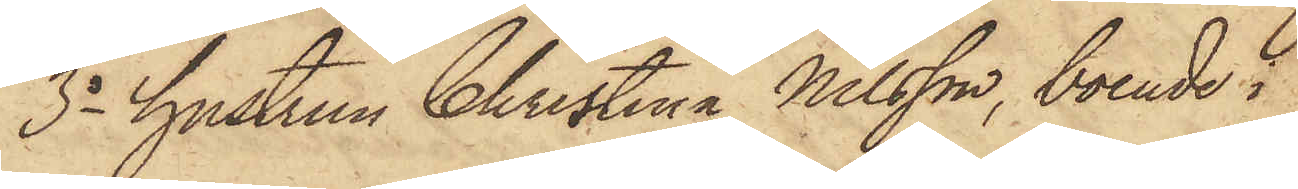3o hustrun Christina Nilsson, boende i
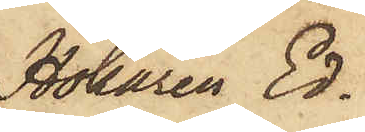Hökaren Ed¬
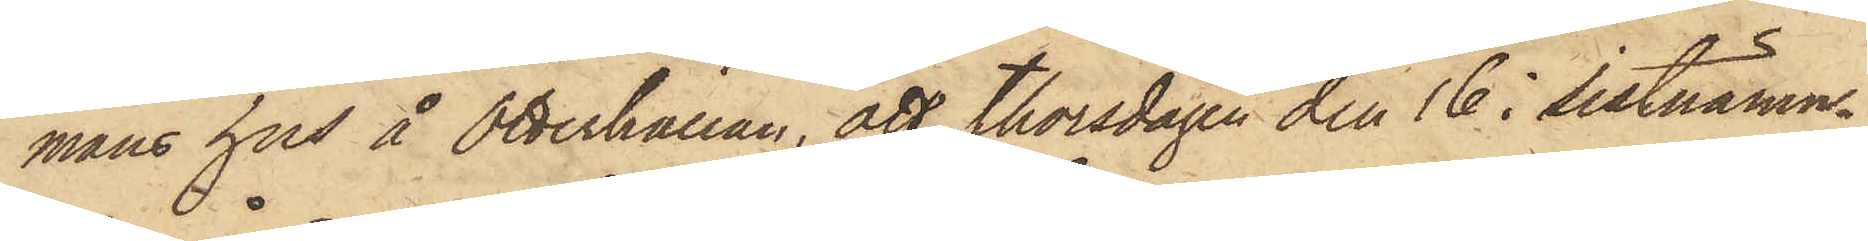mans hus å Otterhällan, att Thorsdagen den 16 i sistnämn¬
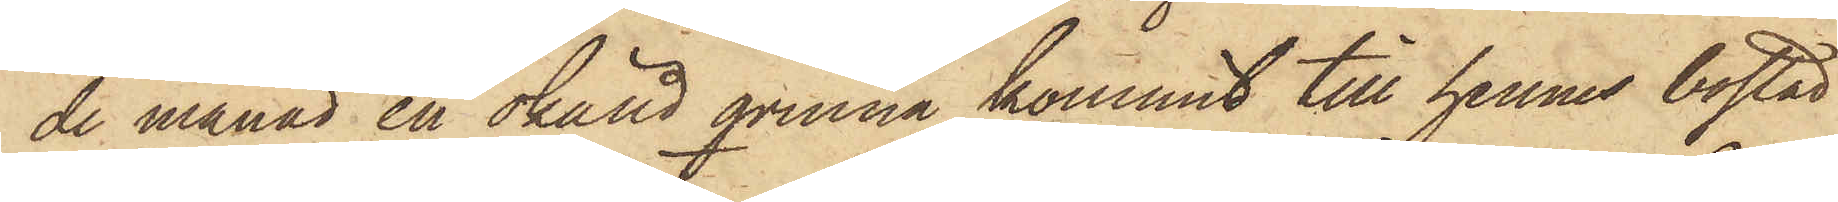de månad en okänd qvinna kommit till hennes bostad
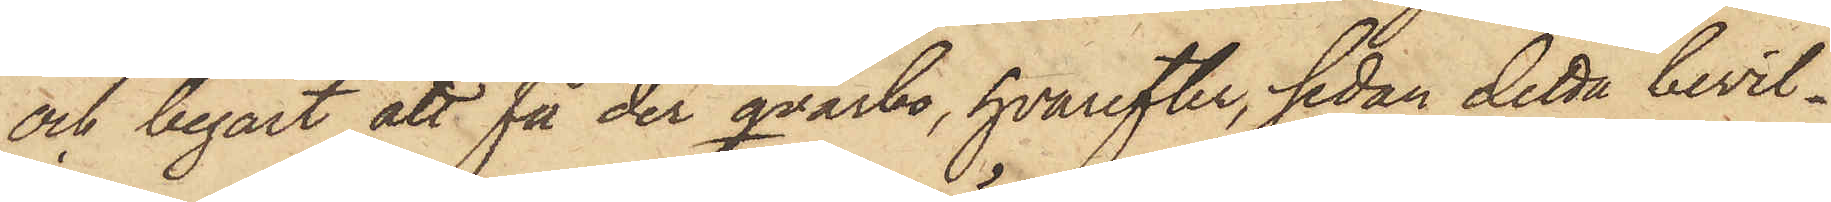och begärt att få der qvarbo, hvarefter, sedan detta bevil¬
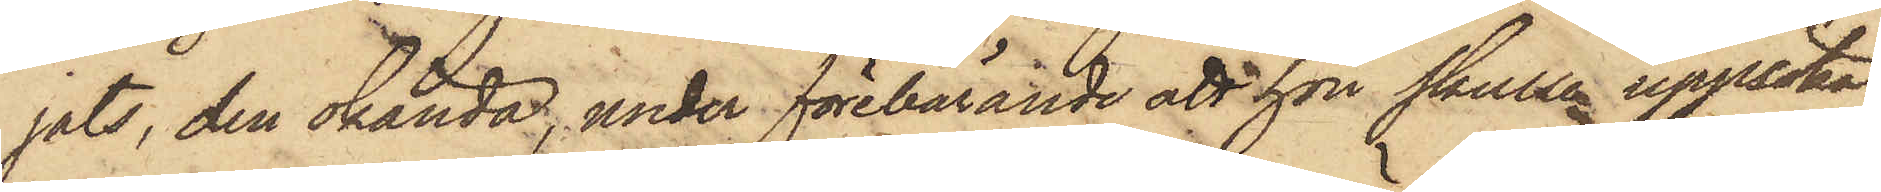jats, den okända, under förebärande att hon skulle uppsöka
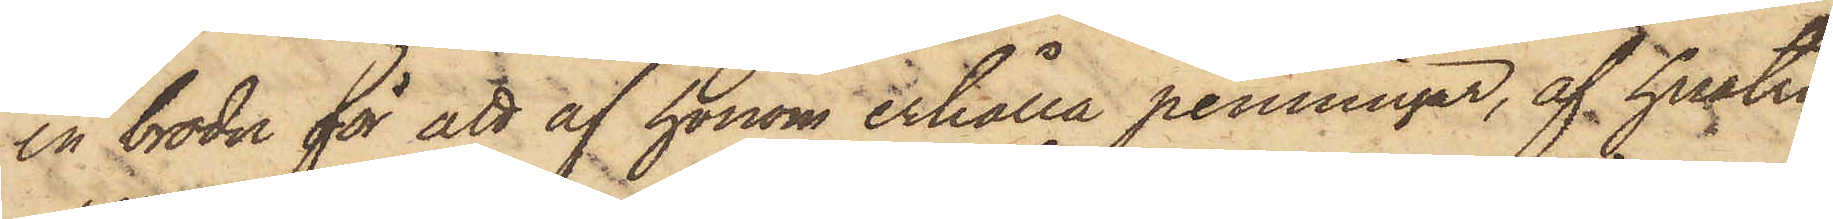en broder för att af honom erhålla penningar, af hustru
